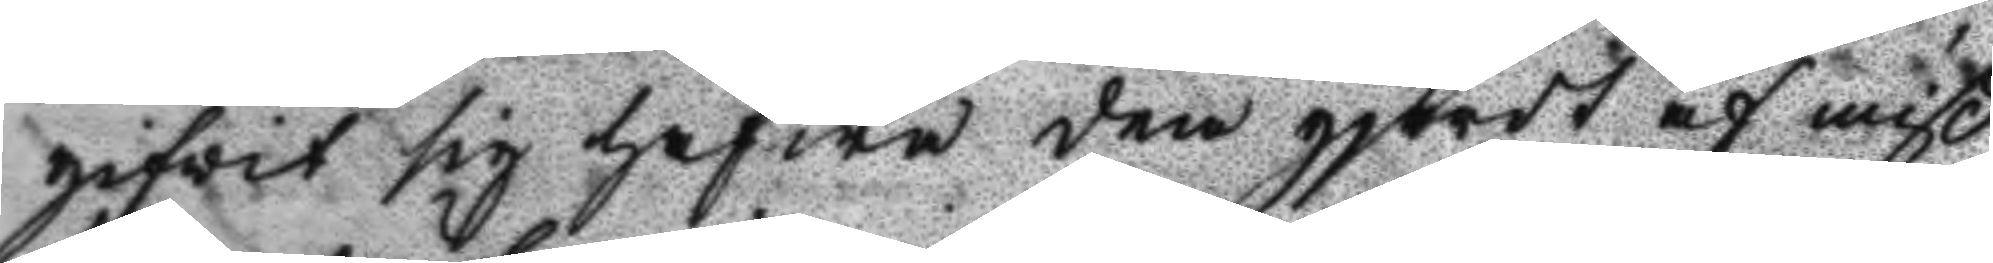gifwit sig hafwa dem gjordt af miß¬
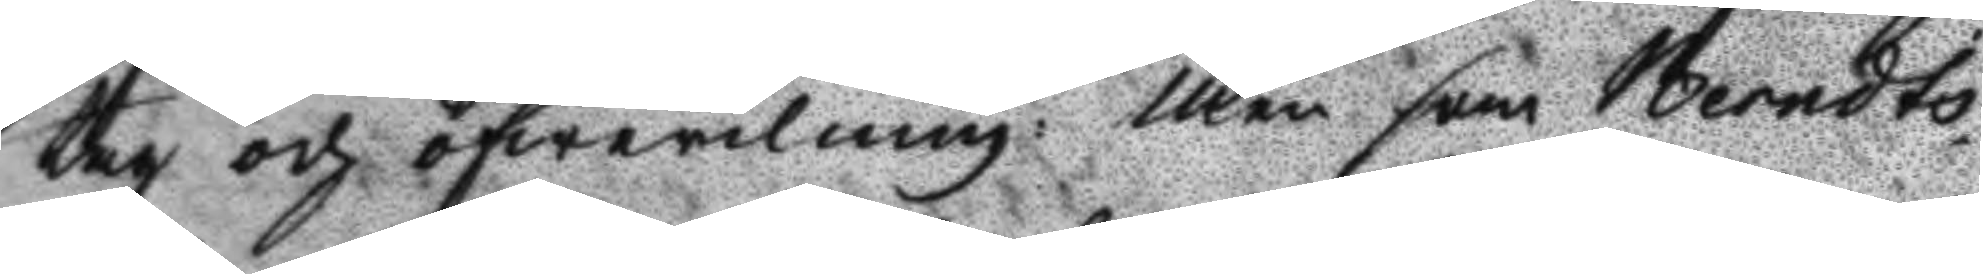tag och öfwerilning: Men som Berndts¬
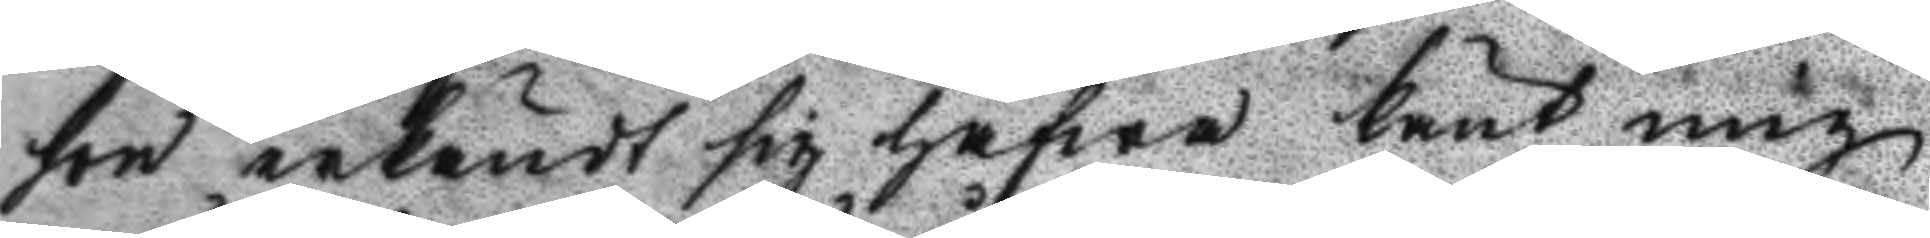son erkändt sig hafwa känt mig
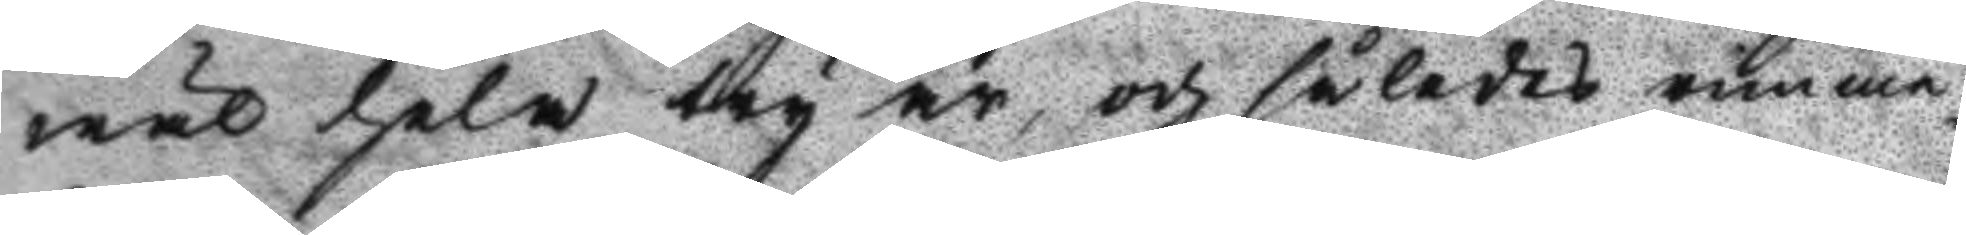wäl hela try år, och således rimme¬
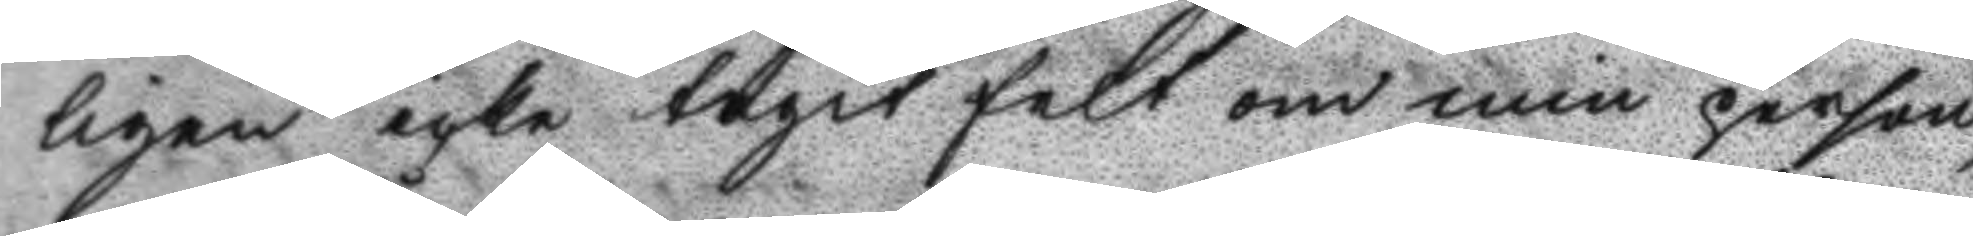ligen icke tagit felt om min person,
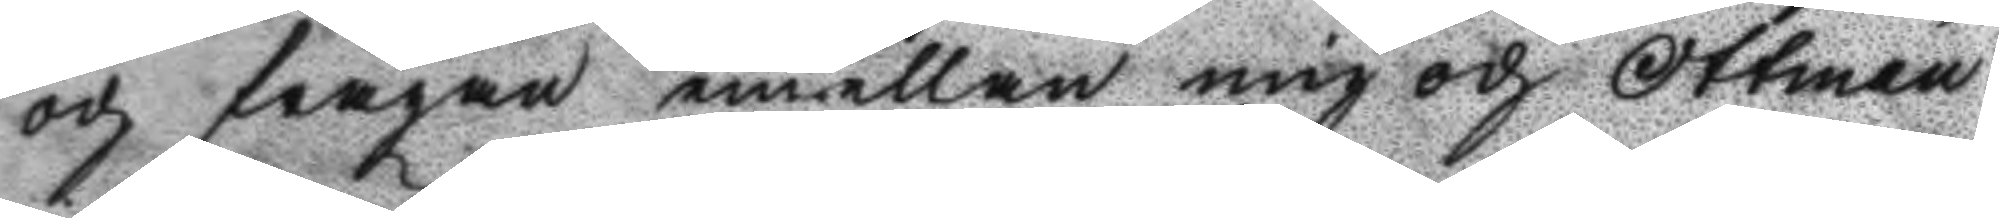och frågan emellan mig och Ottman
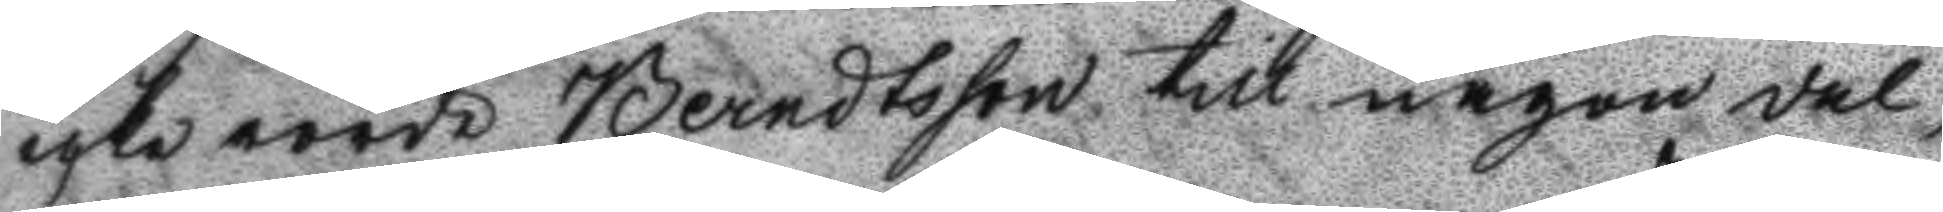icke rörde Berndtsson till någon del,
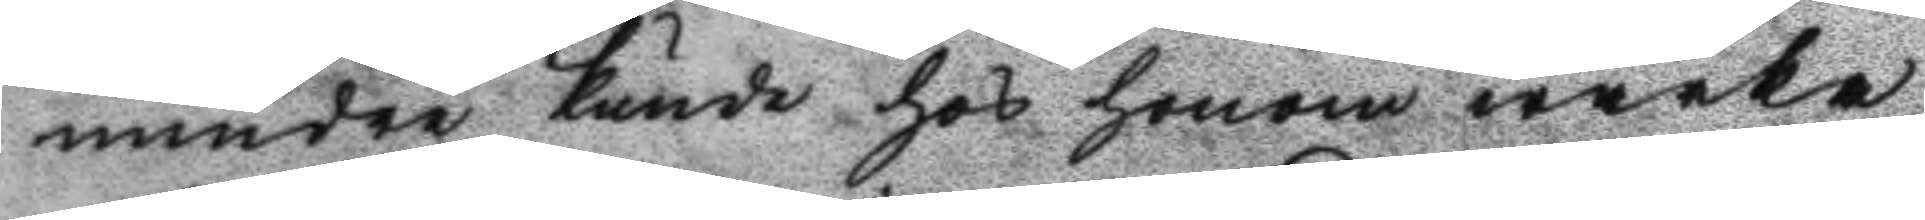mindre kunde hos honom wärka
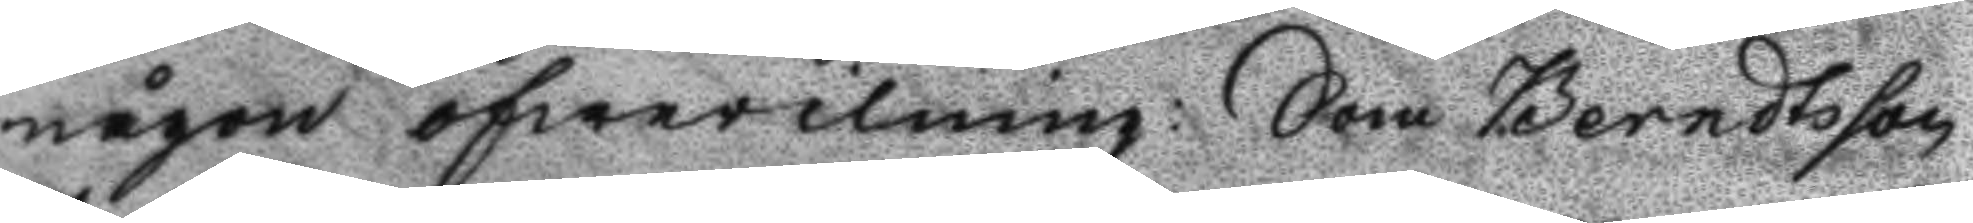någon öfwerilning: Som Berndtsson
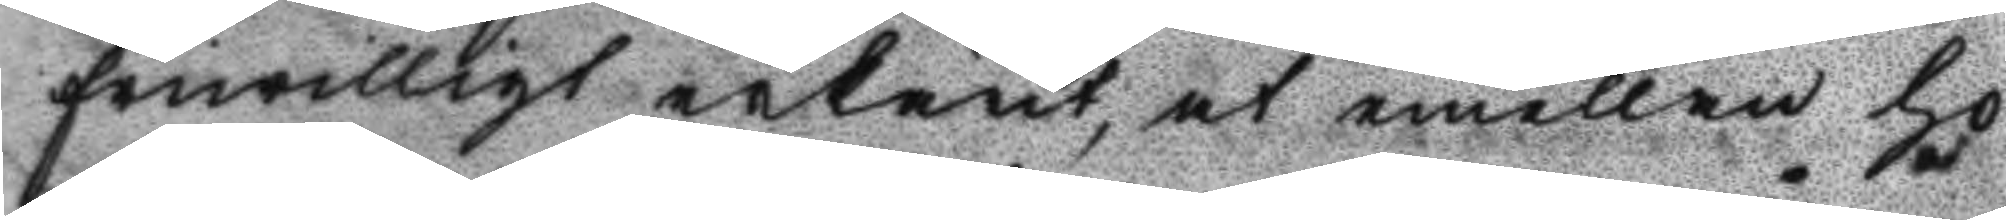friwilligt erkänt; at emellan ho¬
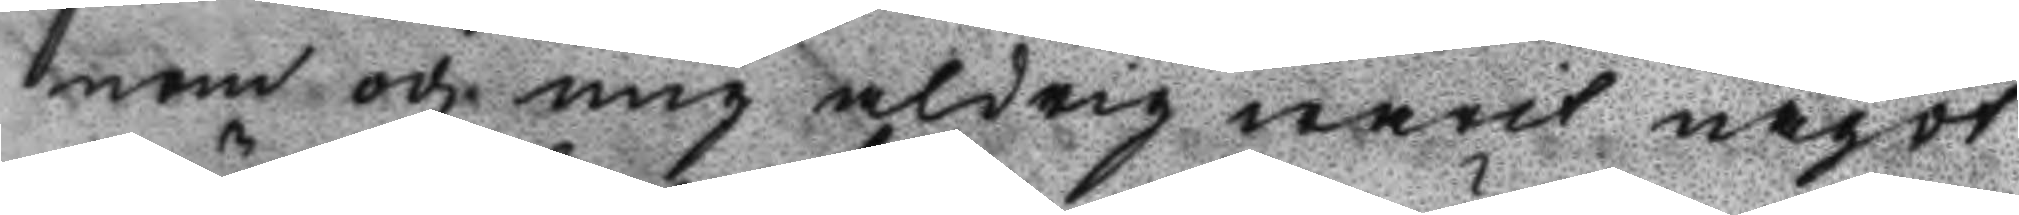nom och mig aldrig warit något
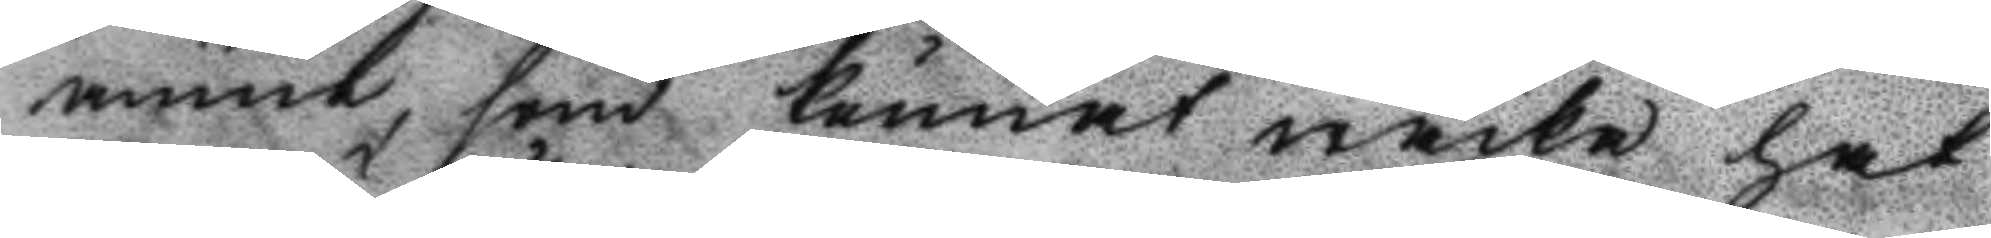ämne, som kunat wäcka hat
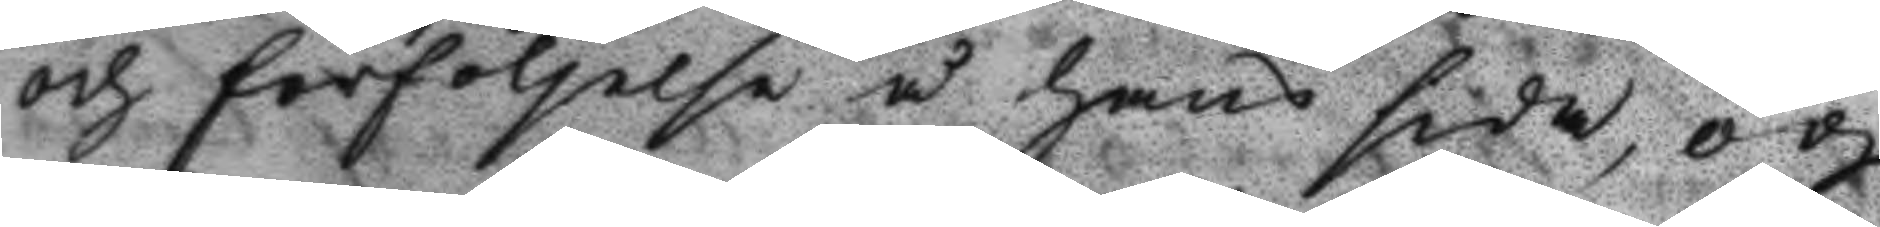och förföljelse å hans sida, och
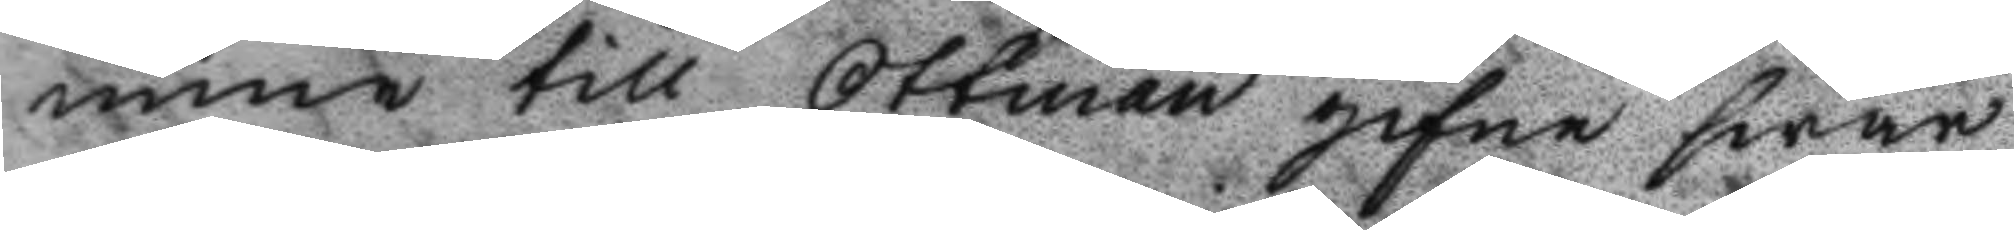mine till Ottmans gifne swar
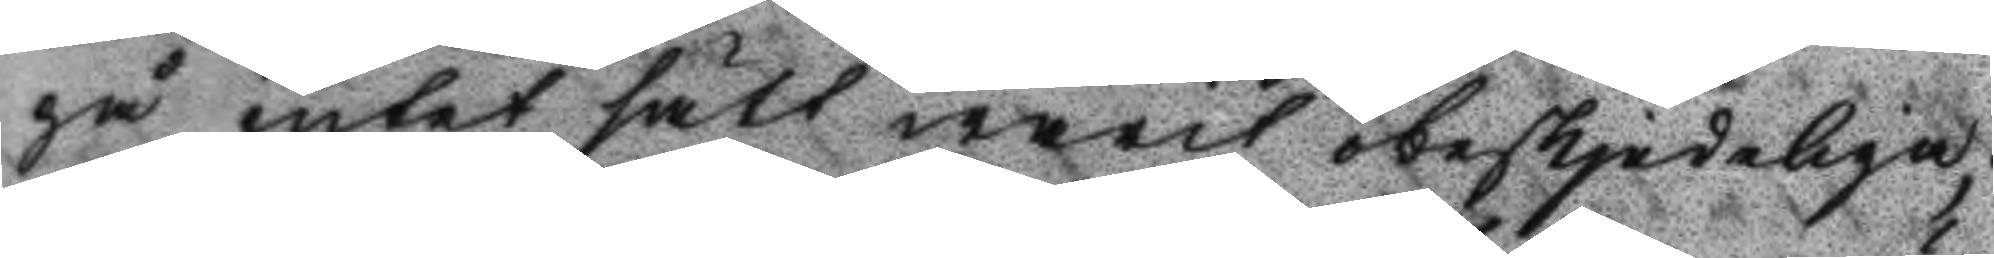på intet sätt warit obeskjedeliga;
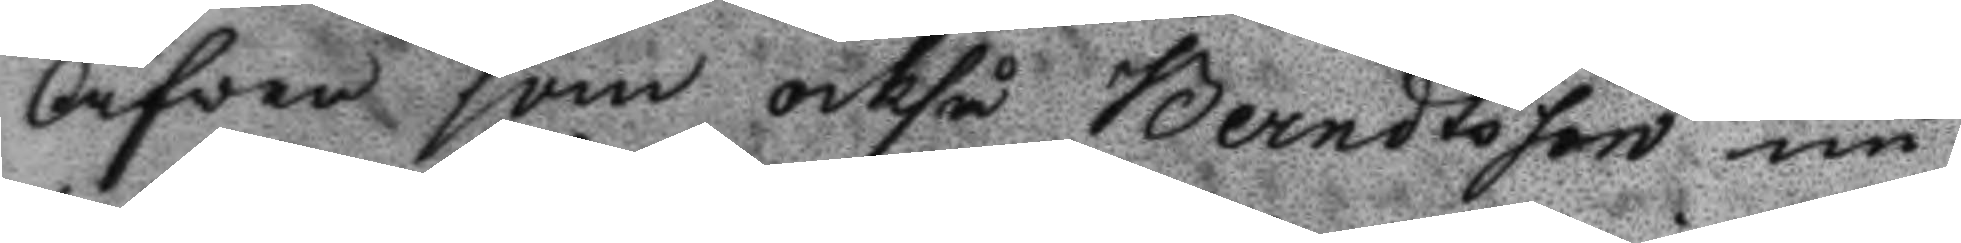Äfven som också Berndtsson nu
